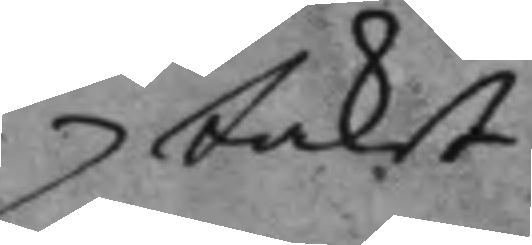taket
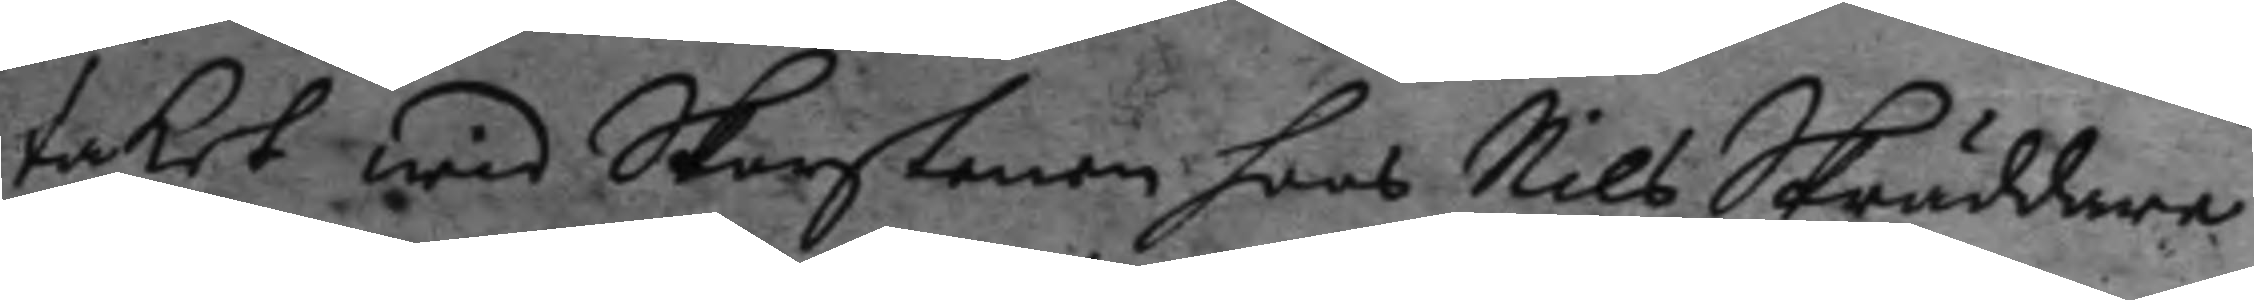taket wid Skorstenen hoos Nils Skräddare
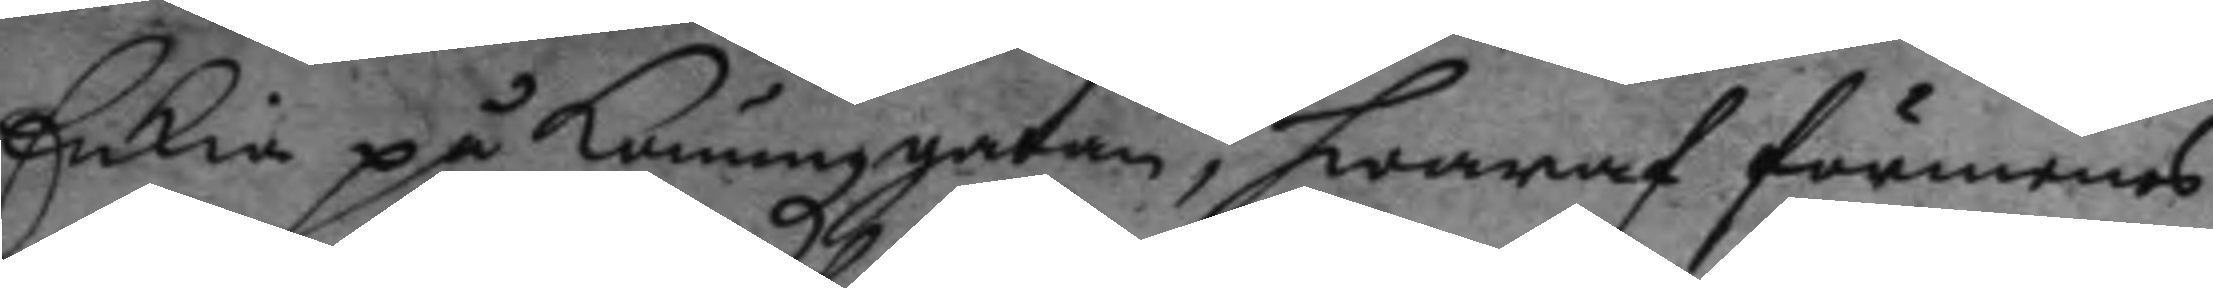Enkia på Konungzgatan, hwaraf förmenas
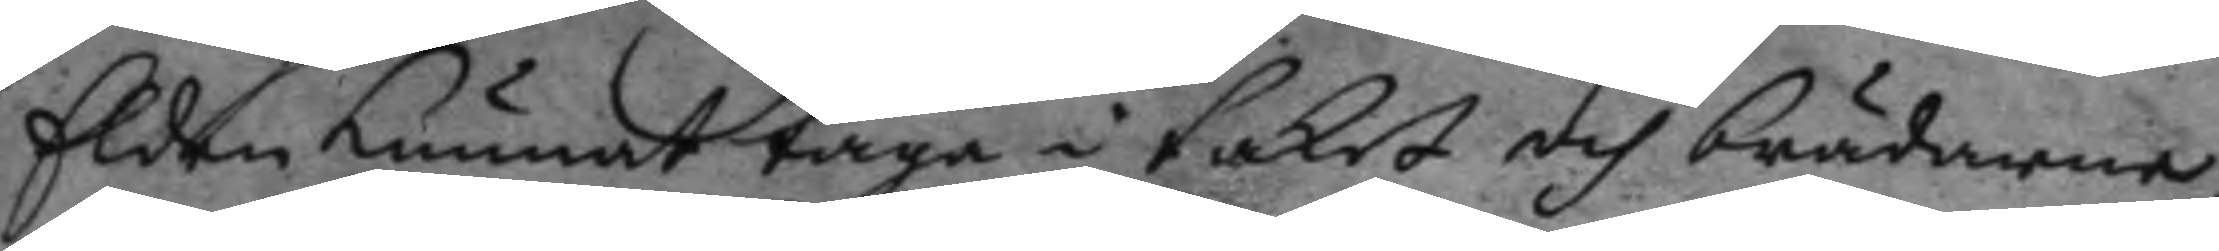Elden kunnat taga i taket och brädarne,
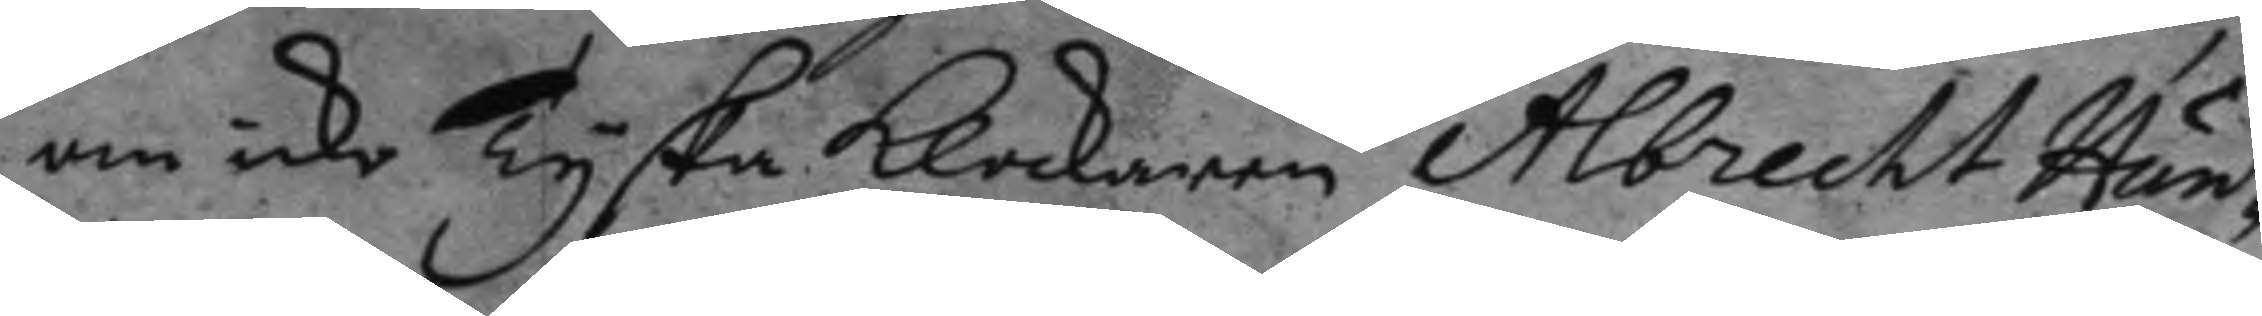om icke Tyska klockaren Albrecht Hun¬
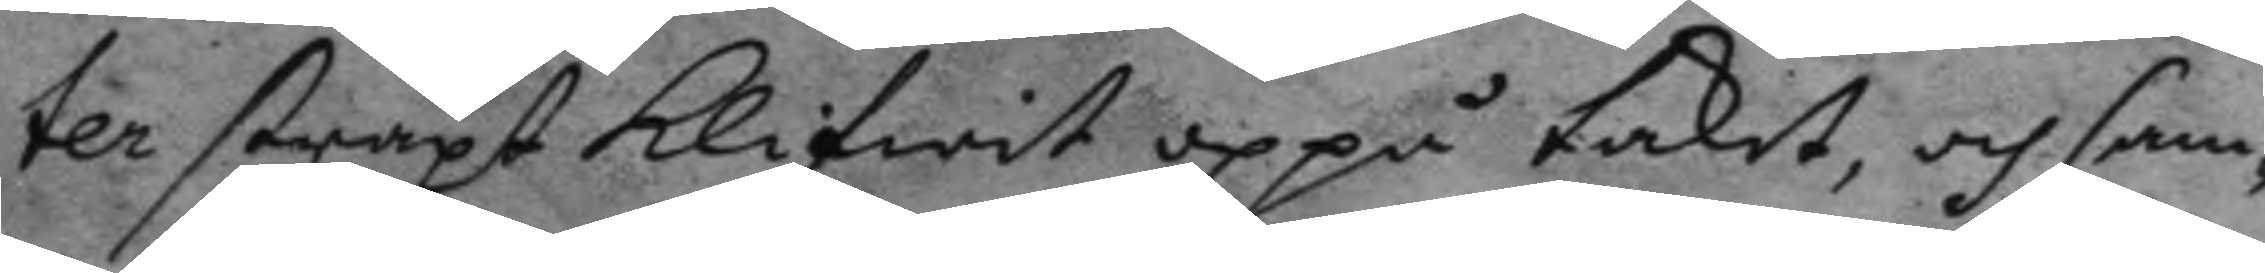ter straxt klifwit uppå taket, och sam¬
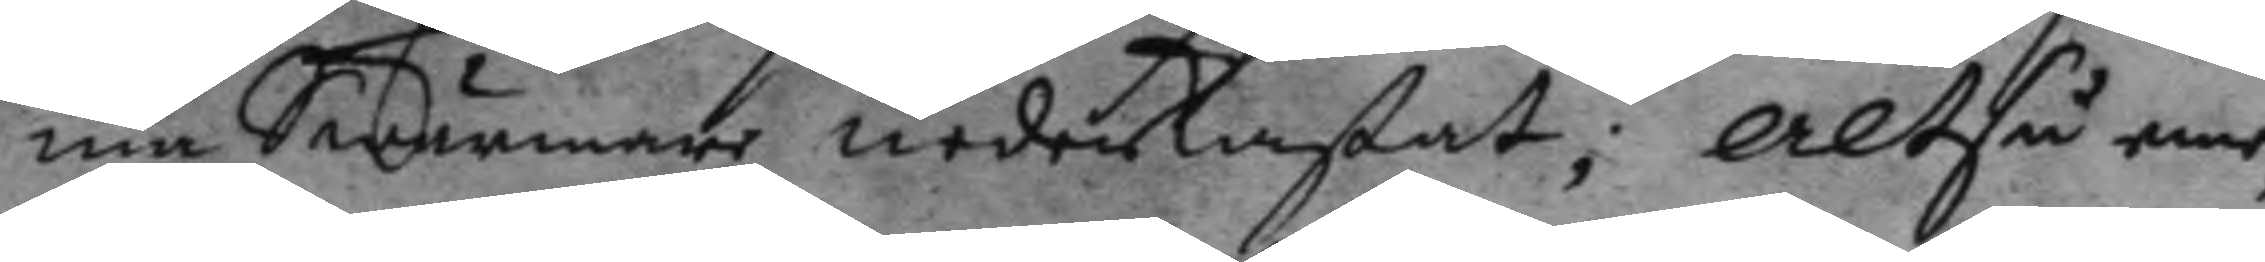me Swärmare nederkastat; altså eme¬
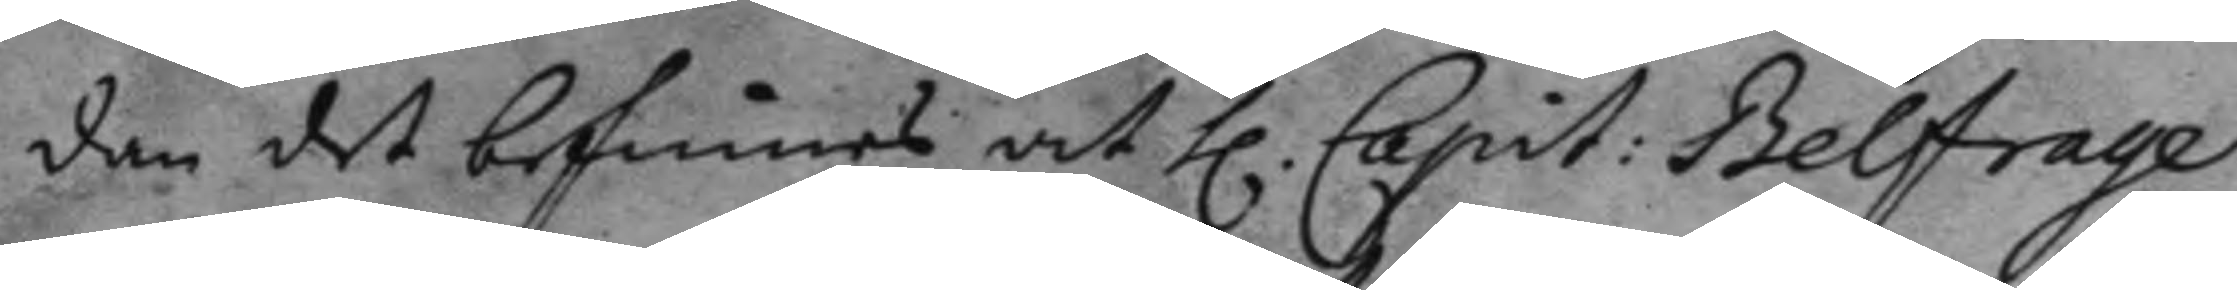dan det befinnes at h. Capit: Belfrage
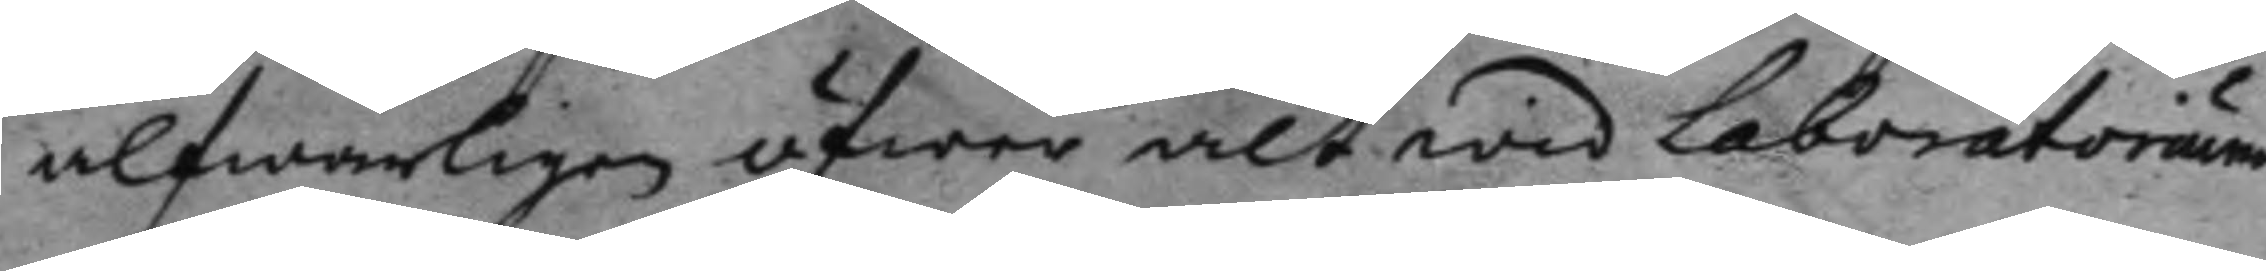alfwarligen öfwer alt wid Laboratorium
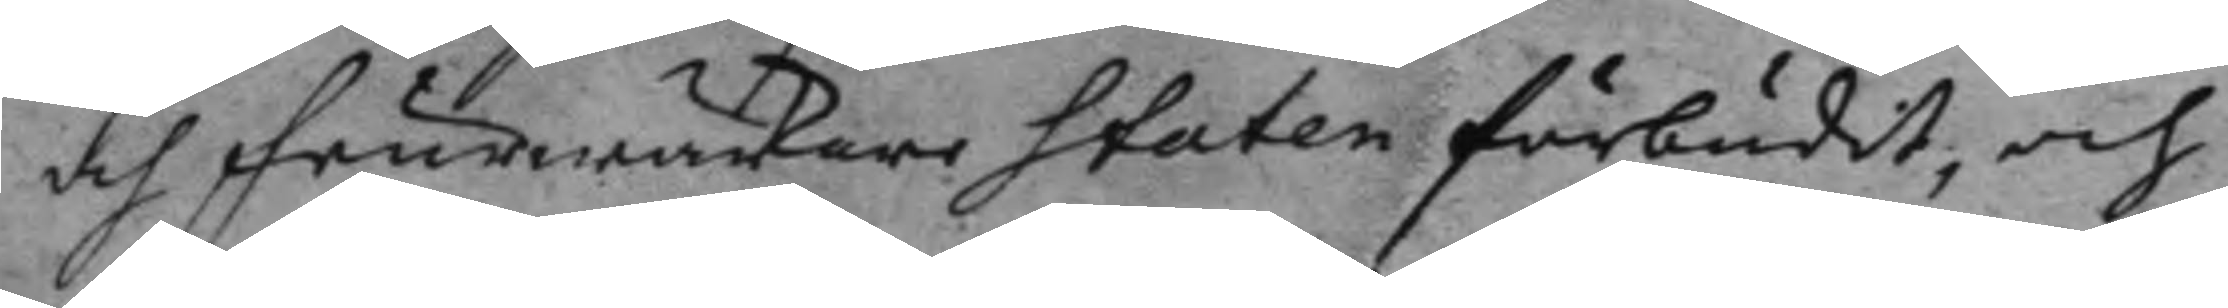och feurwärkare Staten förbudit, och
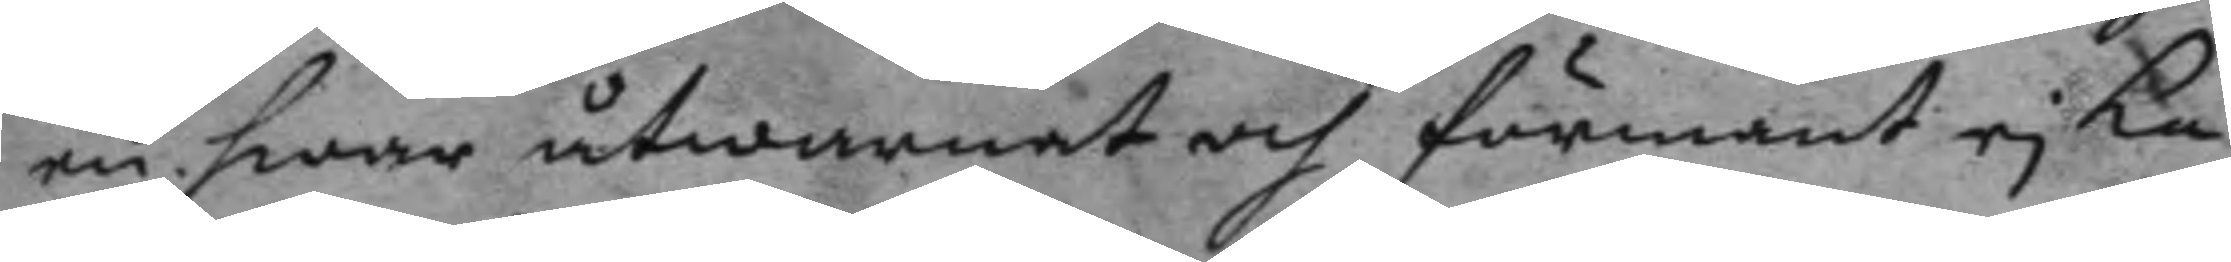en hwar åtwarnat och förmant ej ka¬
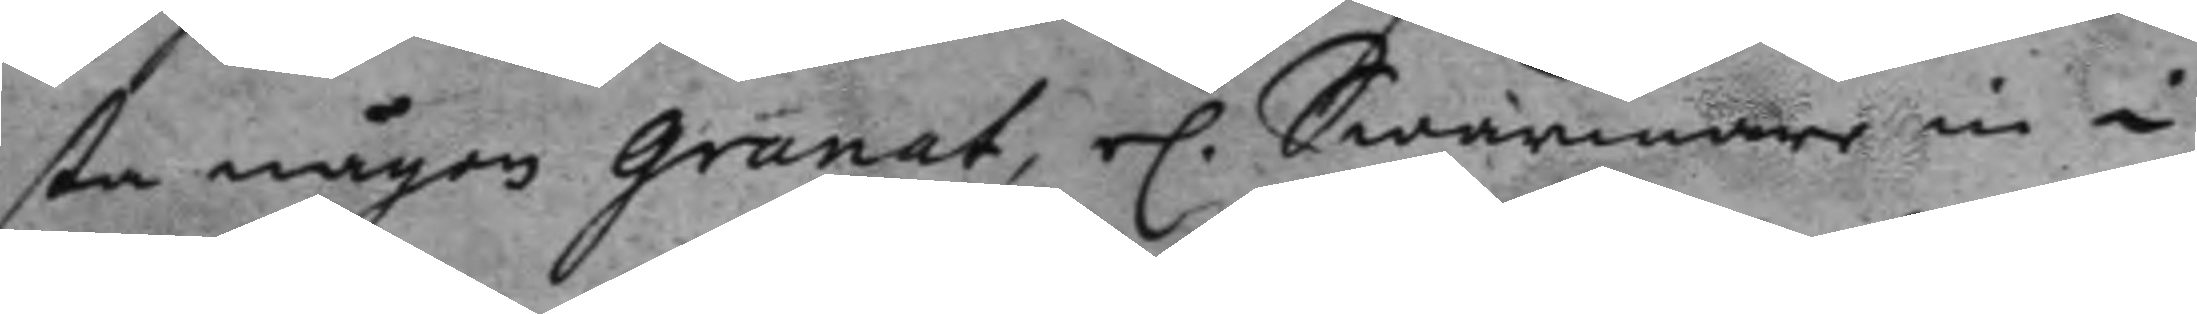sta någon granat, el. Swärmare in i
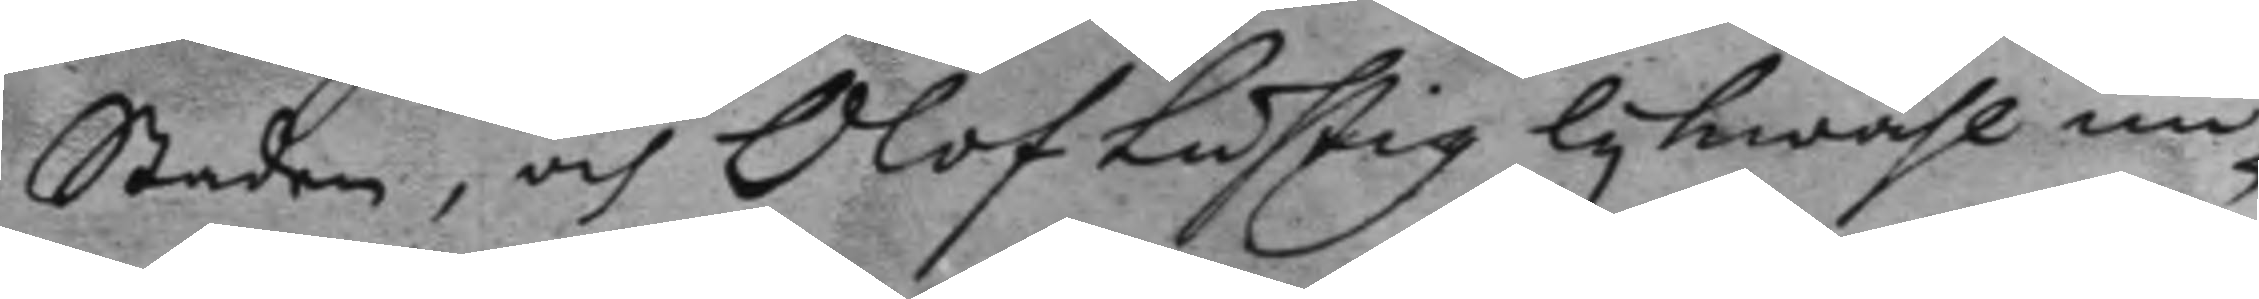Staden, och Olof Lustig lykwähl un¬
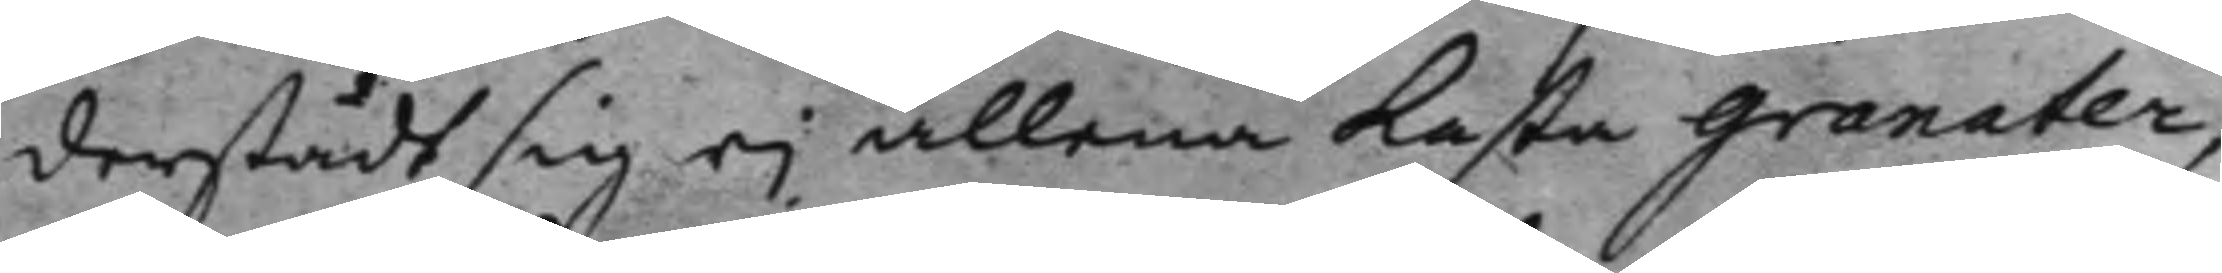derstådt sig ej allena kasta granaten
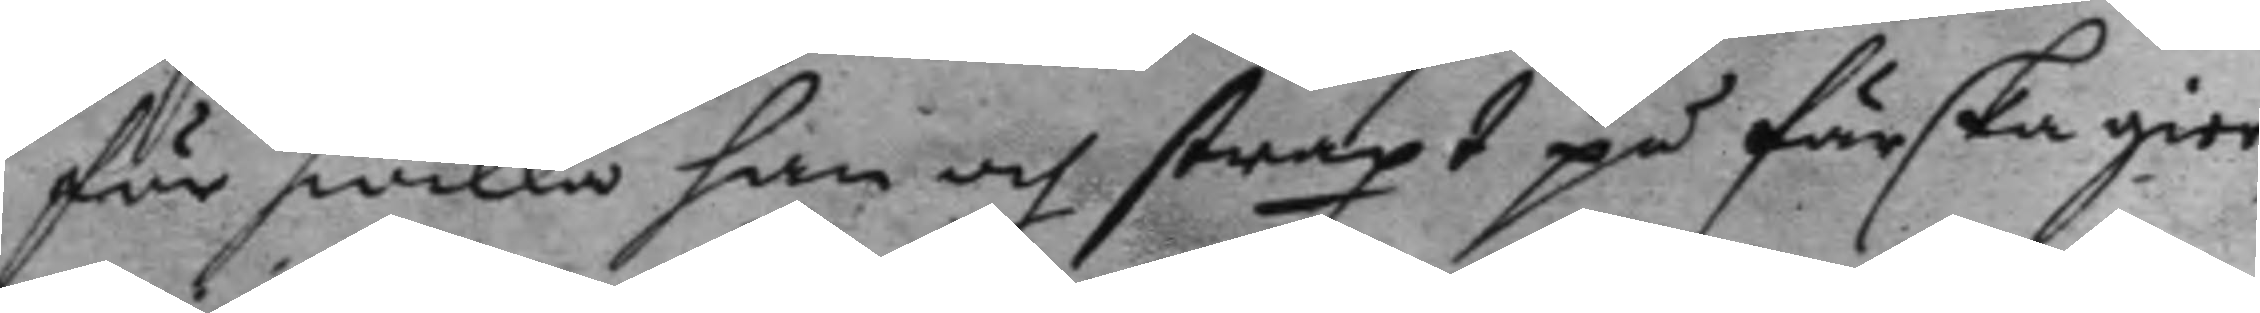för hwilka han och straxt på färska gier¬
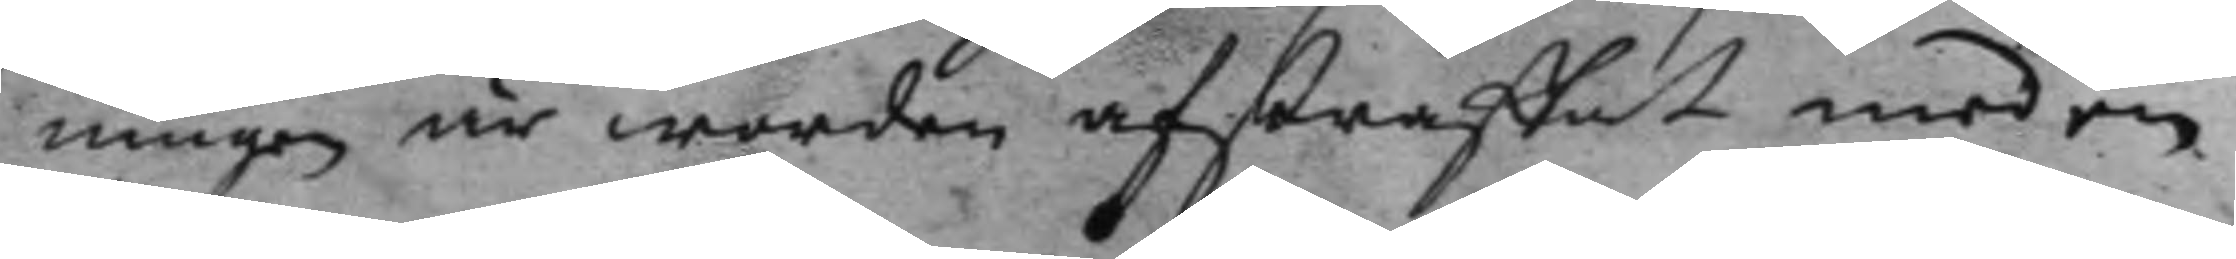ningen är worden afstraffat med en
